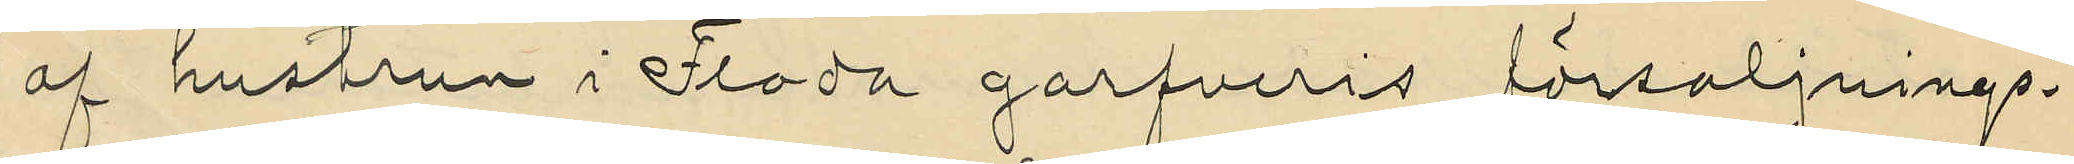af hustrun i Floda garfveris försäljnings¬
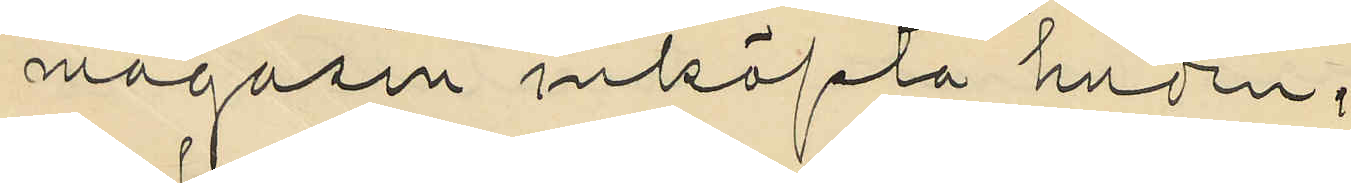magasin inköpta huden;
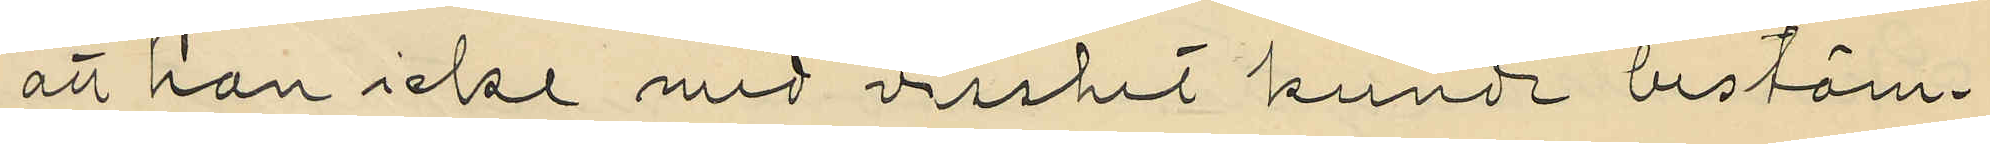att han icke med visshet kunde bestäm¬
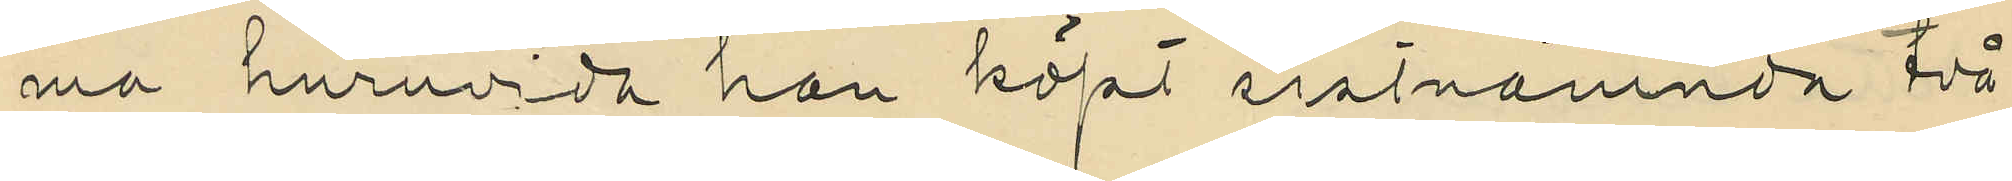ma huruvida han köpt sistnämnda två
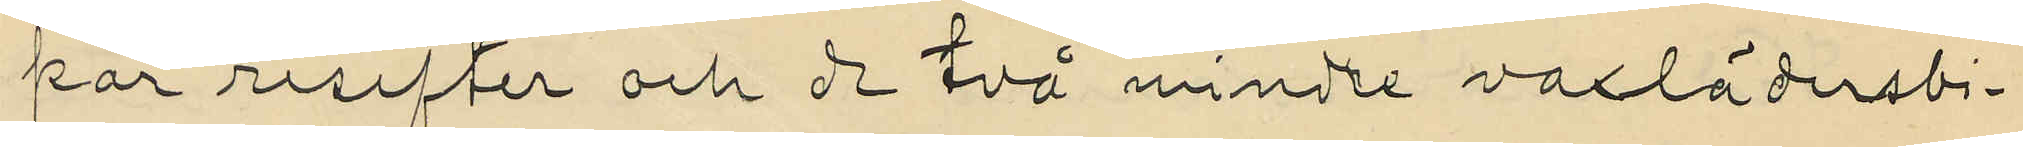par resefter och de två mindre vaxlädersbi¬
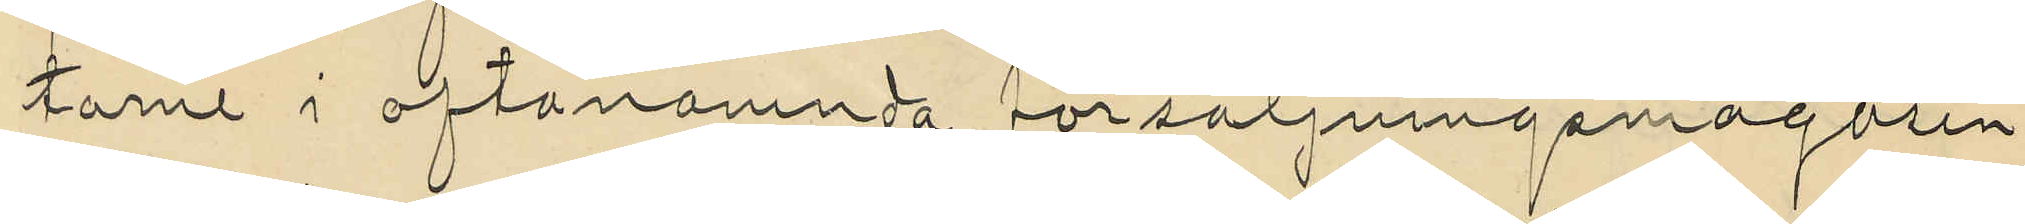tarne i oftanamnda försäljningsmagasin
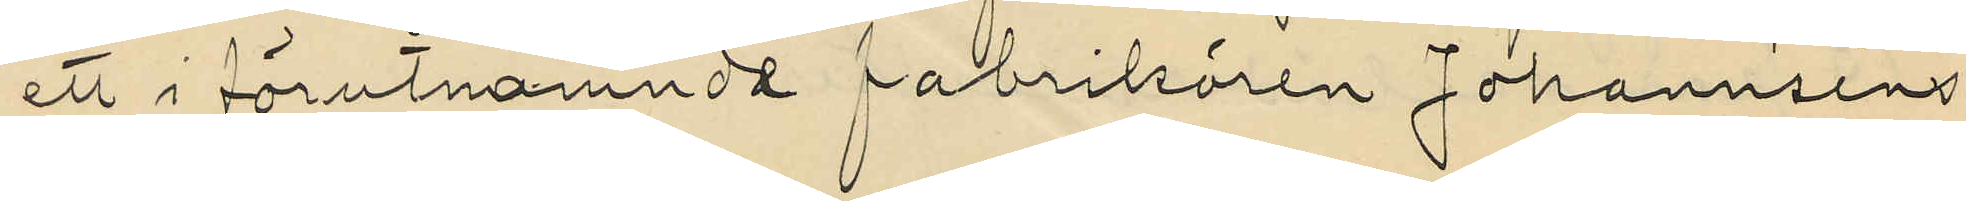ett i förutnämnda fabrikören Johannséns
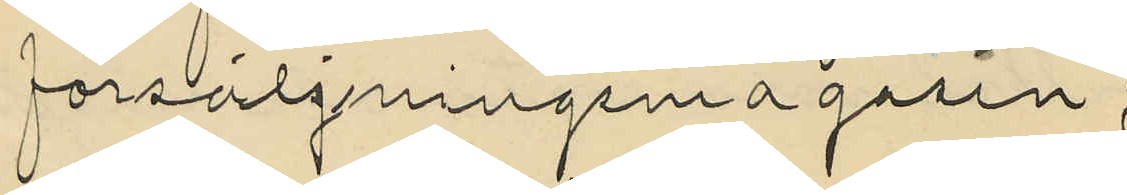försäljningsmagasin,
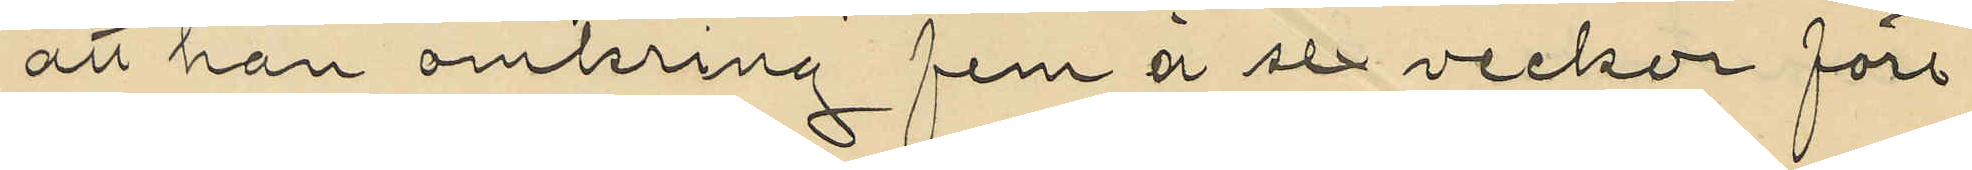att han omkring fem á sex veckor före
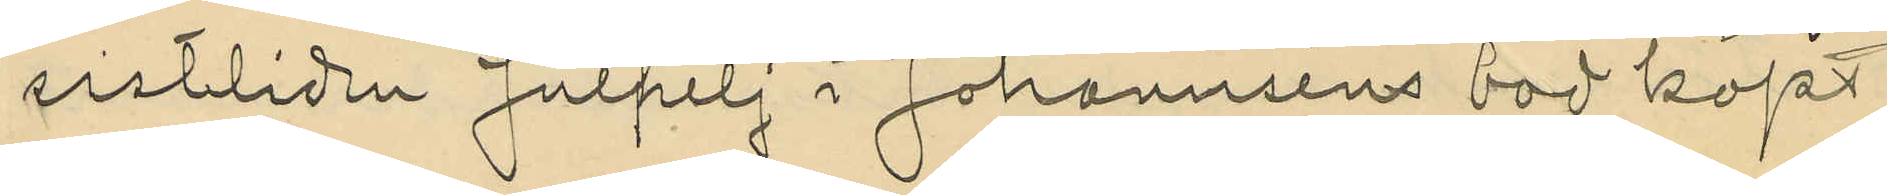sistlidna Julhelj i Johannséns bod köpt
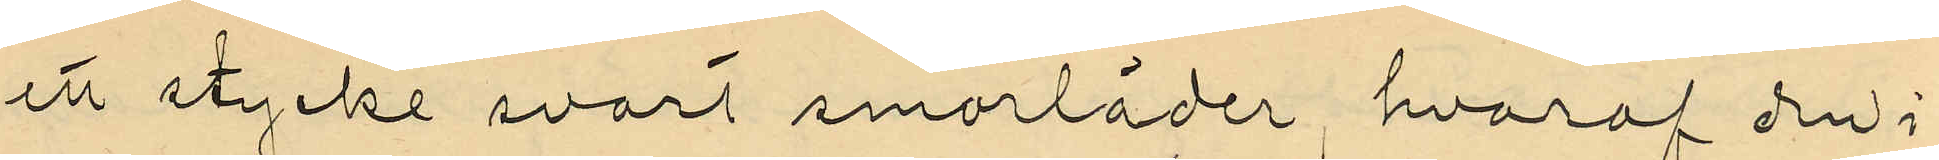ett stycke svart smorläder, hvaraf den i
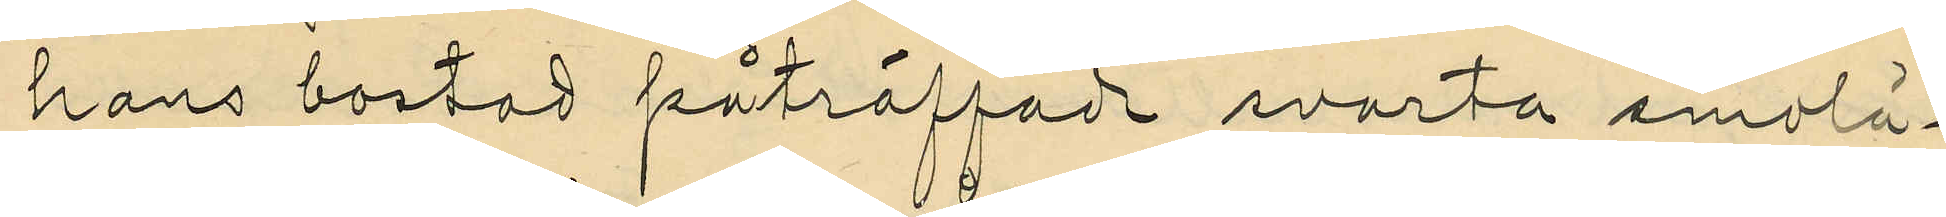hans bostad påträffade svarta smolä¬
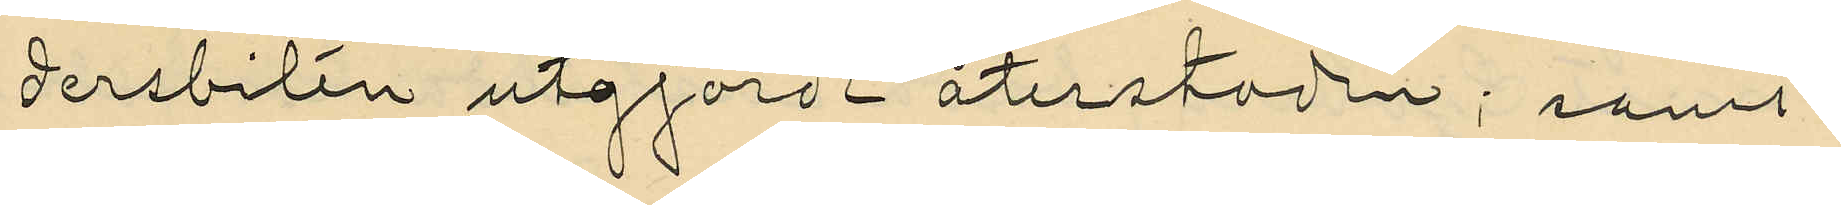dersbiten utgjorde återstoden; samt
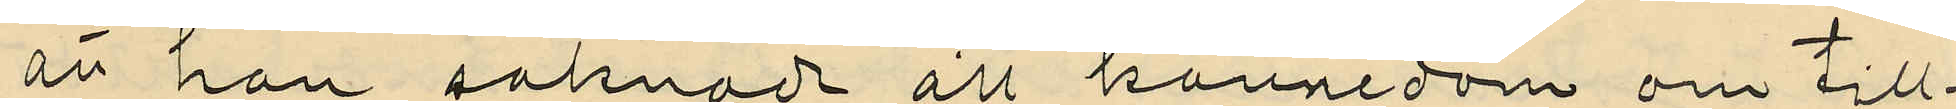att han saknade all kannedom om till¬
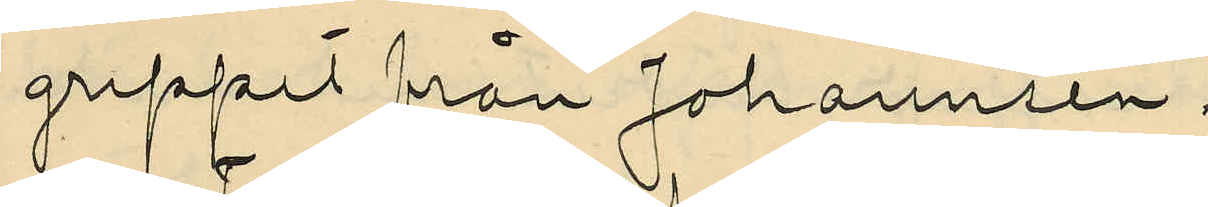greppet från Johannsén.
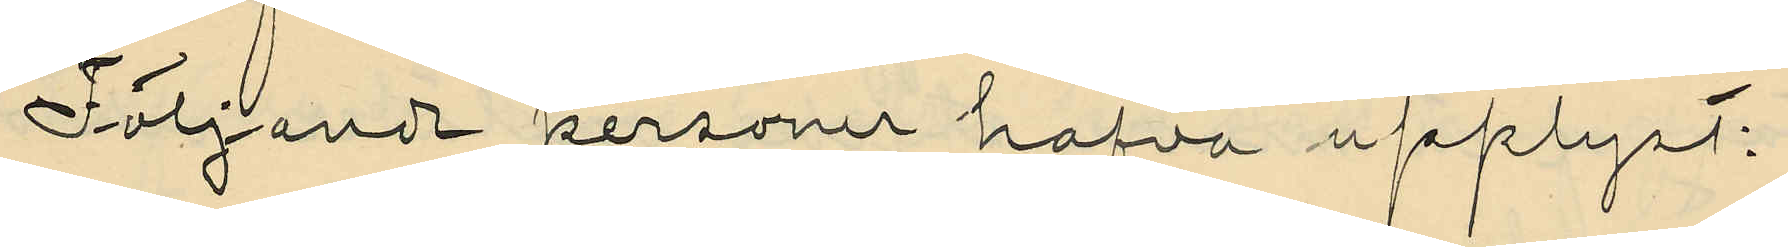Följande personer hafva upplyst:
